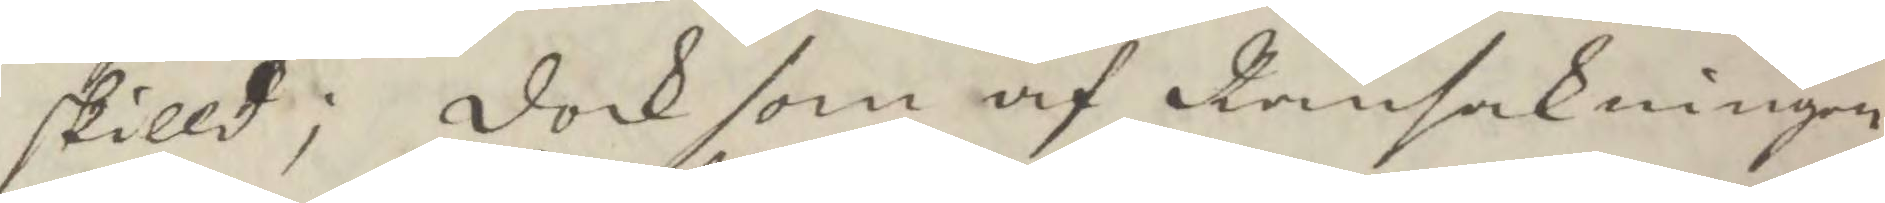skilld; dock som af Ransakningen
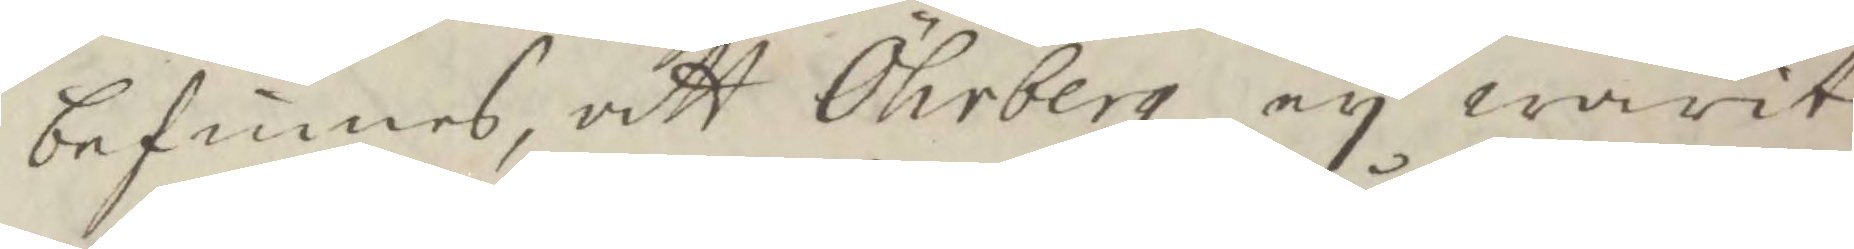befinnes att Öhrberg ey warit
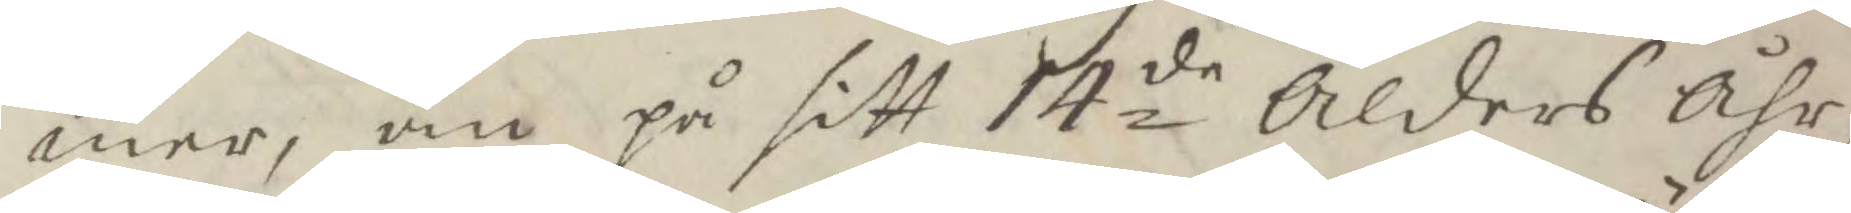mer, än på sitt 14de Ålders Åhr
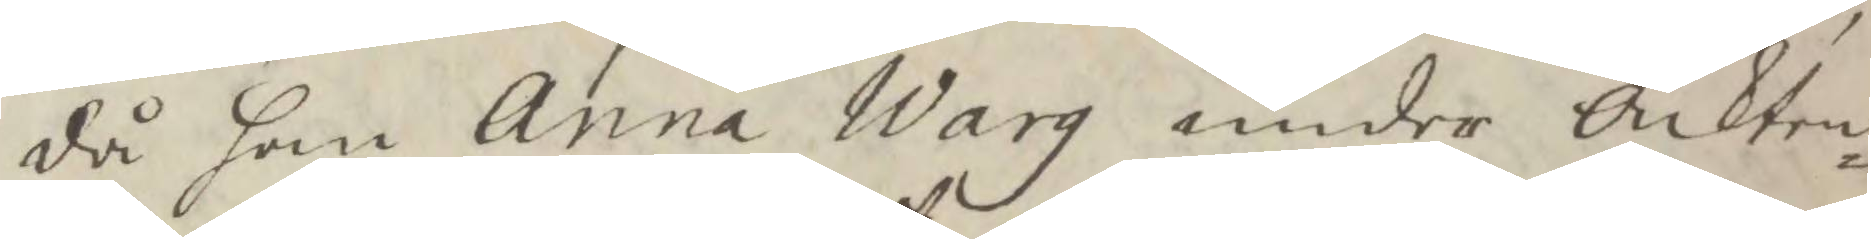då han Anna Warg under Äckten¬
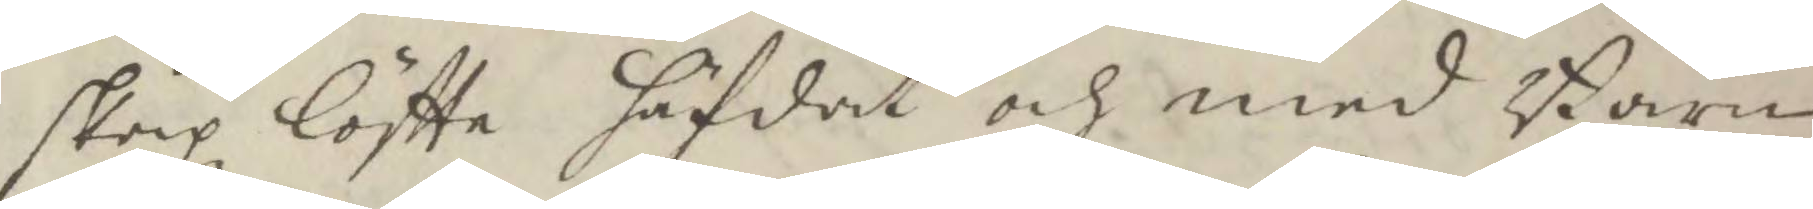skapz löftte häfdat och med Barn
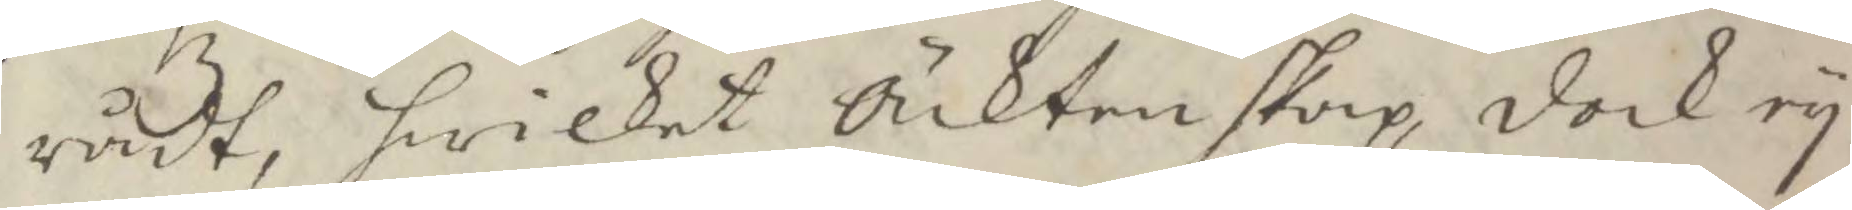rådt, hwilket Äcktenskap dock ey
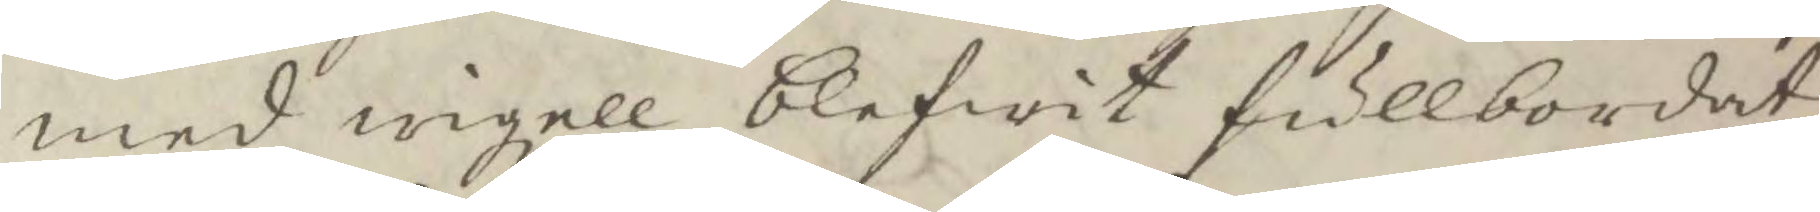med wigzell blifwit fullbordat
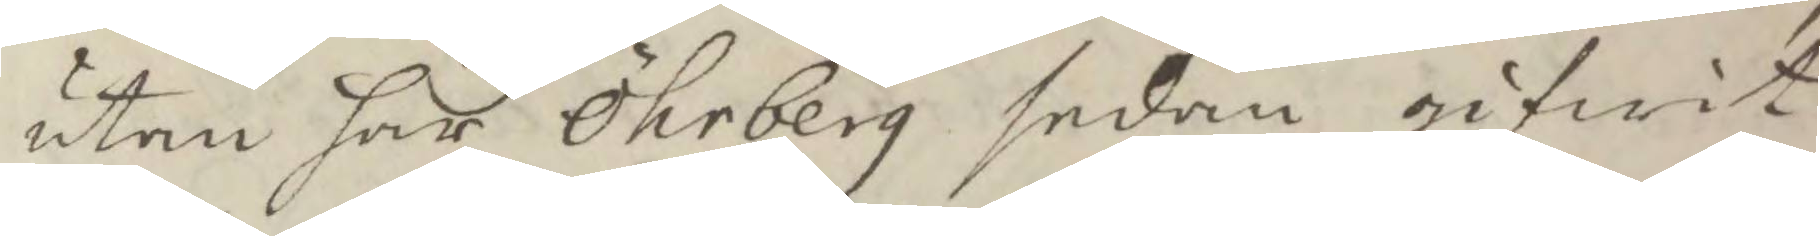utan har Öhrberg sedan gifwit
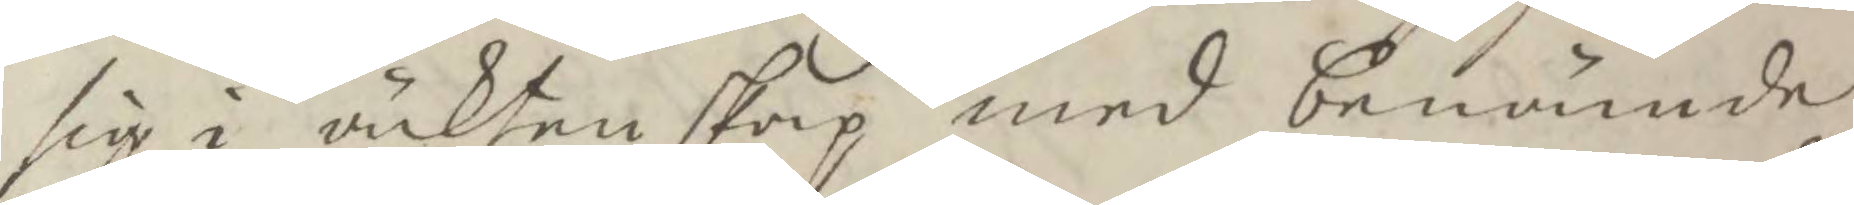sig i äcktenskap med benämnde
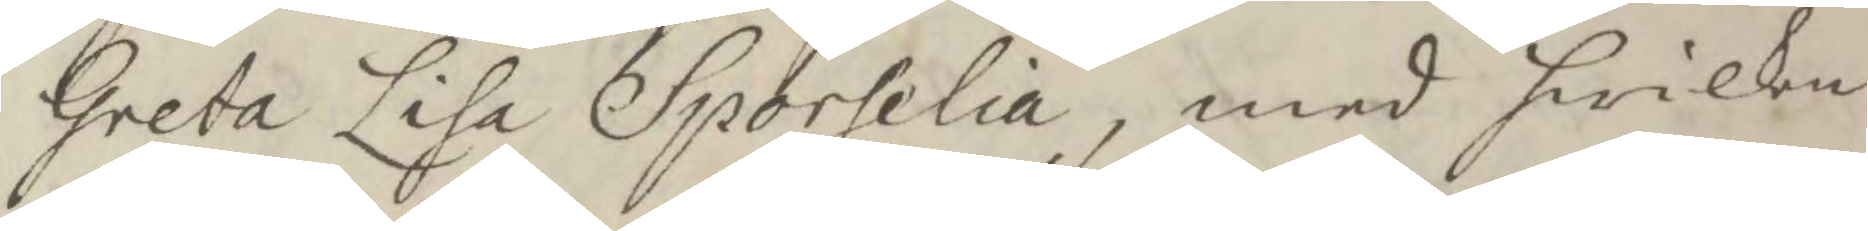Greta Lisa Sporelia, men hwilken
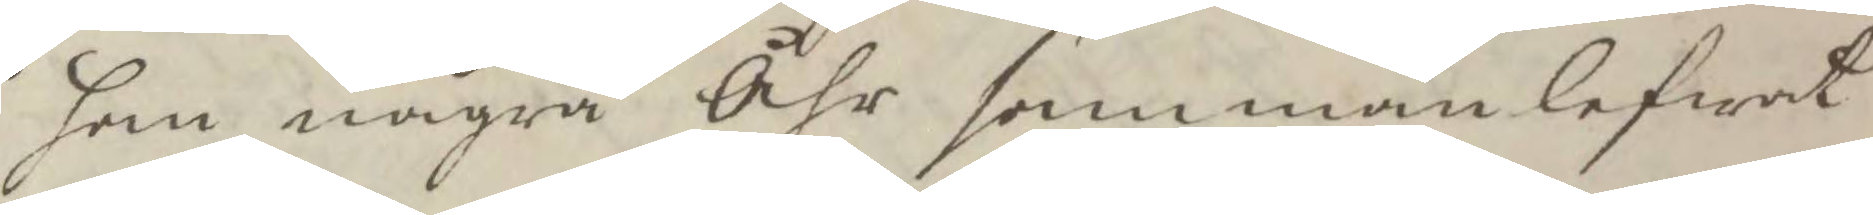han några Åhr sammanlefwat
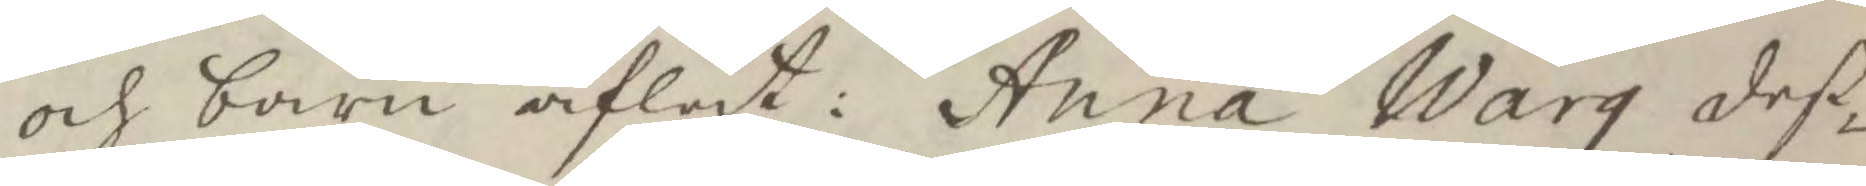och barn aflat: Anna Warg deß¬
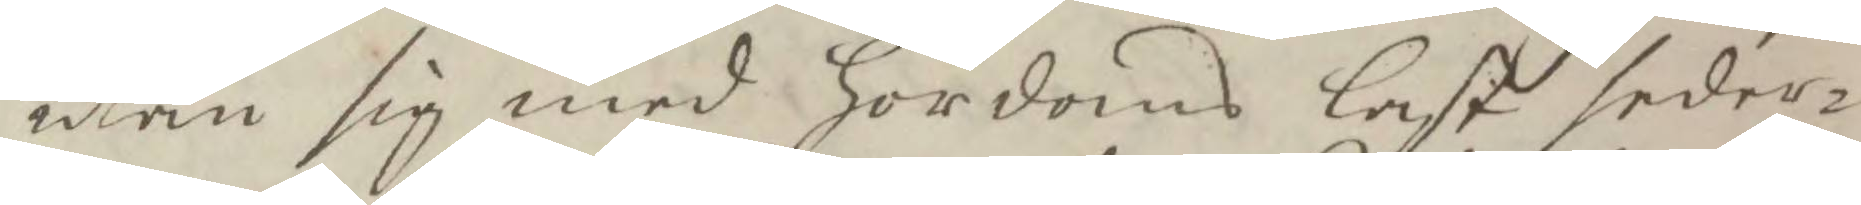utan sig med hordoms last seder¬
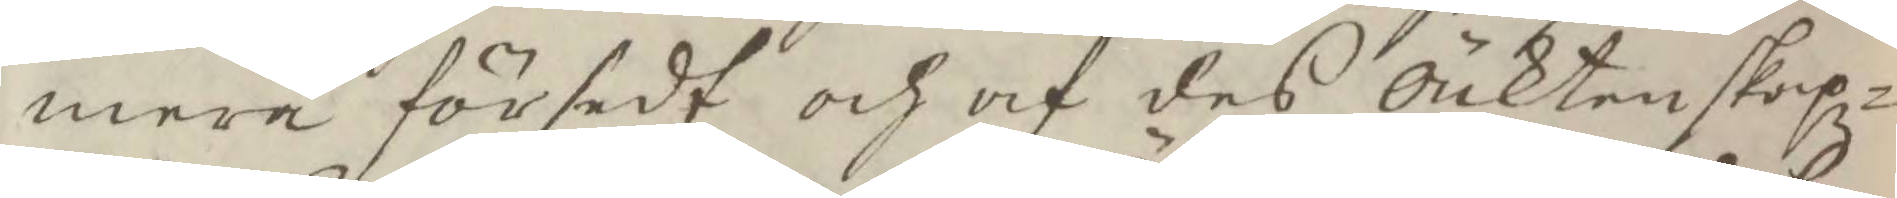mera försedt och af des Äcktenskapz¬
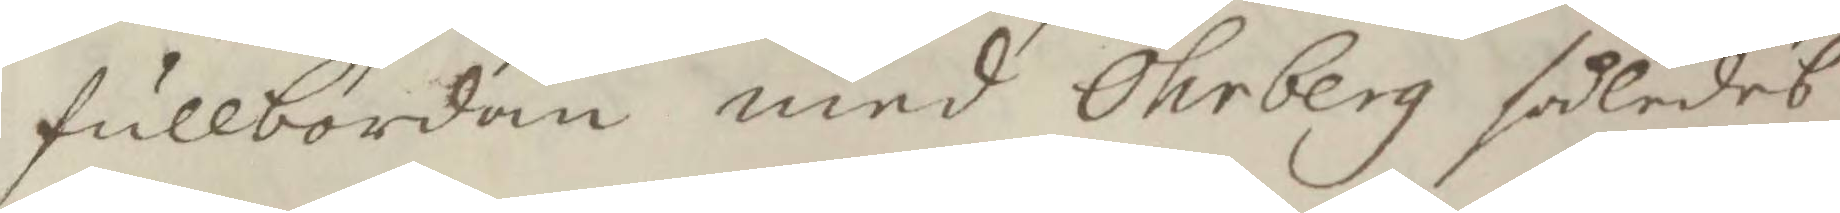fullbordan med Öhrberg således 
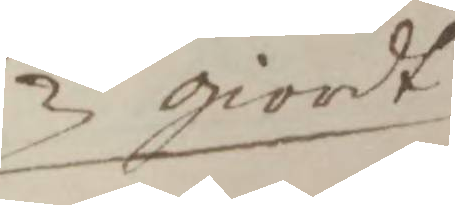giordt
